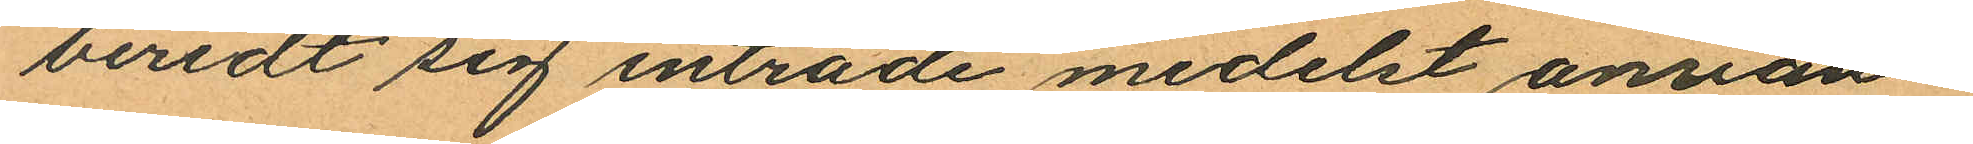beredt sig inträde medelst använ¬
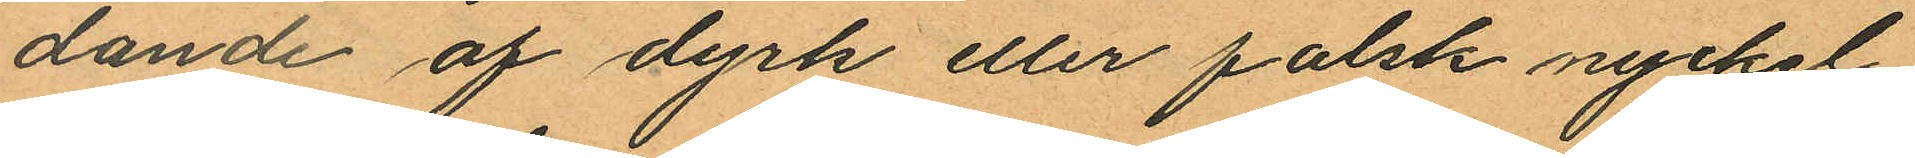dande af dyrk eller falsk nyckel
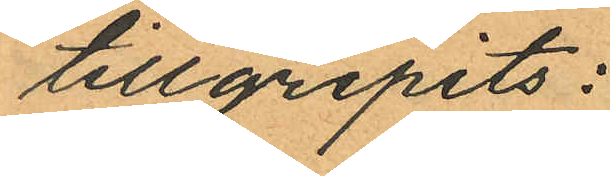tillgripits:
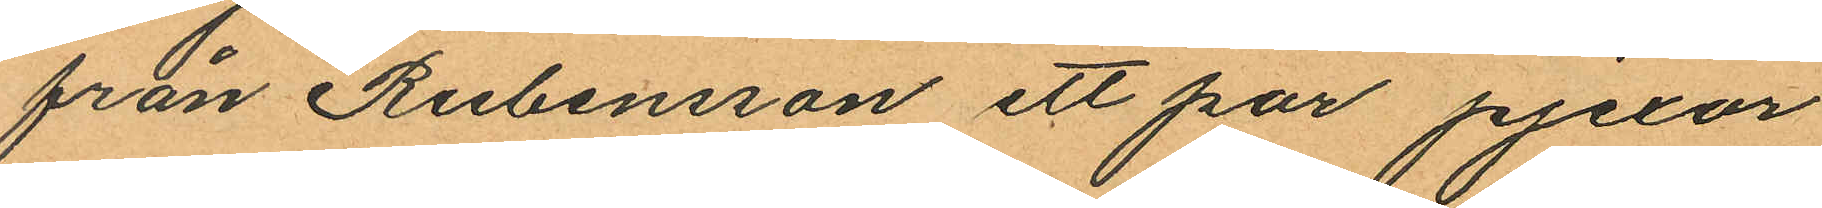från Rubensson ett par pjexor
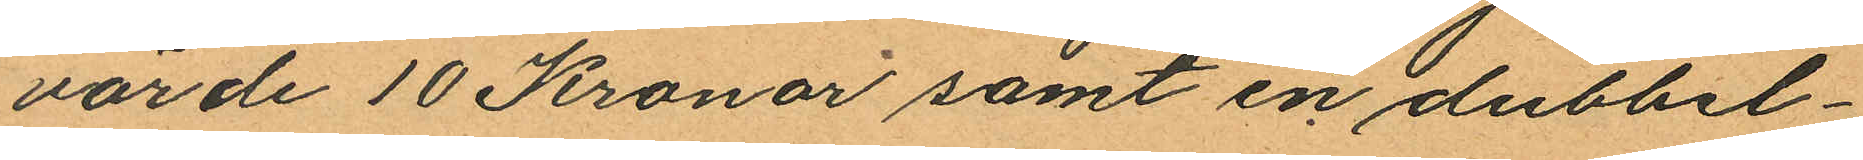värde 10 Kronor samt en dubbel¬
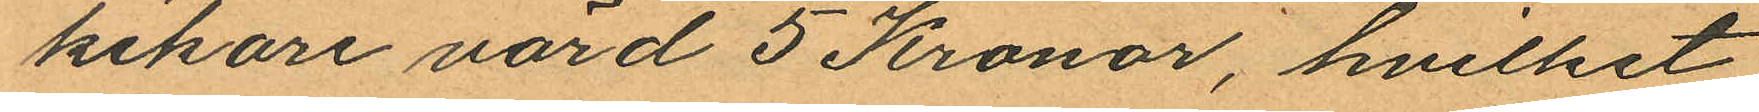kikare värd 5 Kronor, hvilket
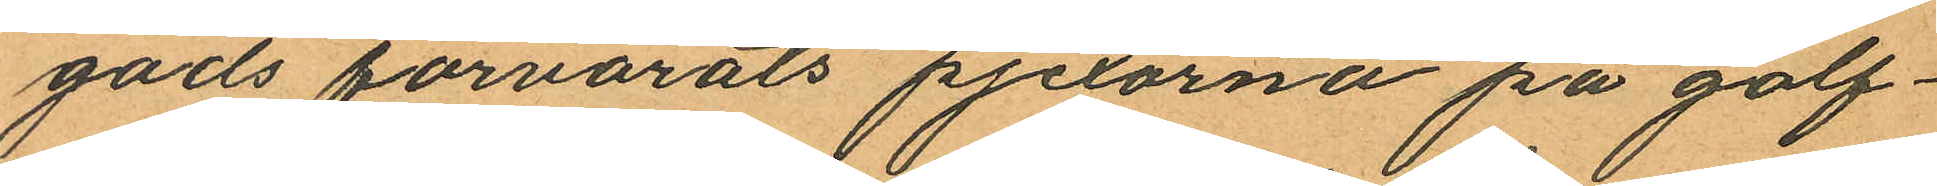gods förvarats pjexorna på golf¬
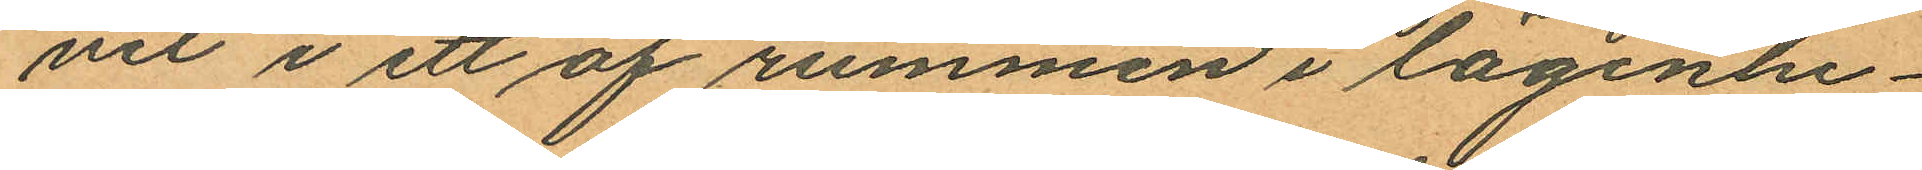vet i ett af rummen i lägenhe¬
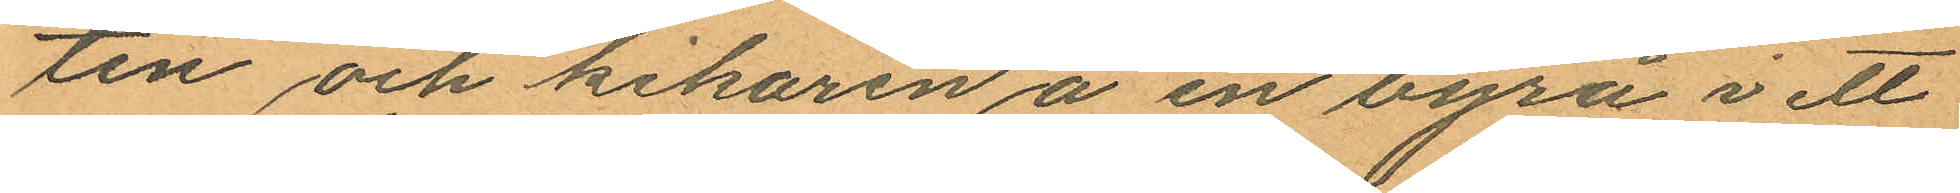ten och kikaren å en byrå i ett
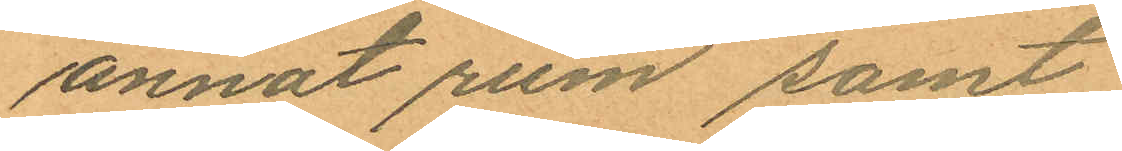annat rum samt
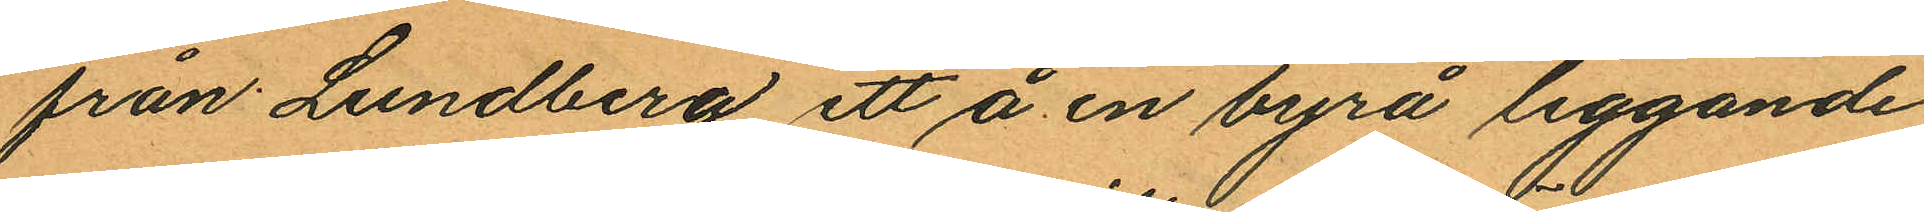från Lundberg ett å en byrå liggande
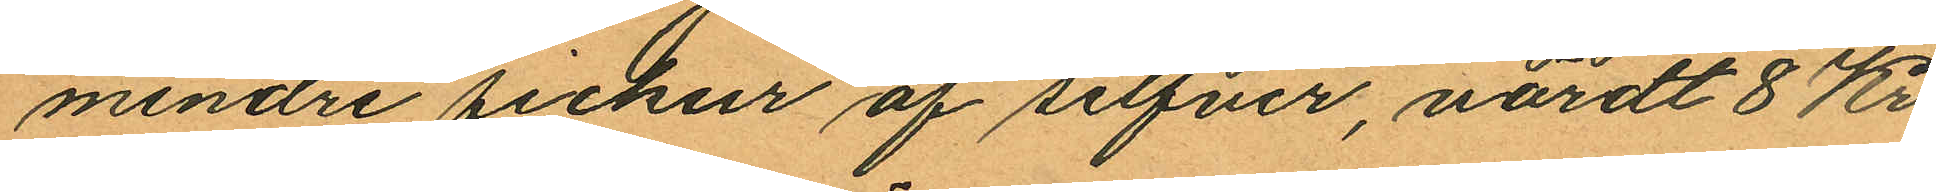mindre fickur af silfver, värdt 8 Kr.
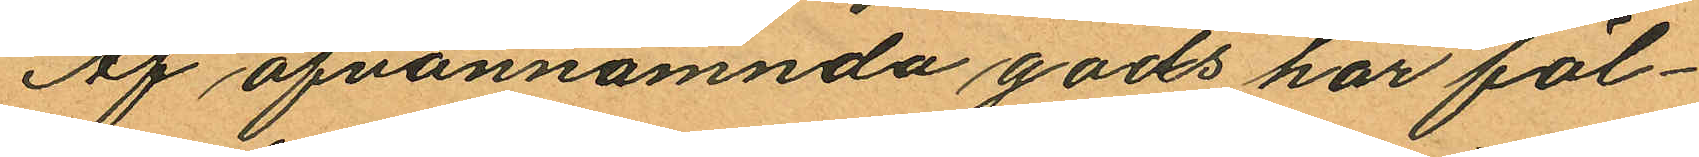Af ofvannämnda gods har föl¬
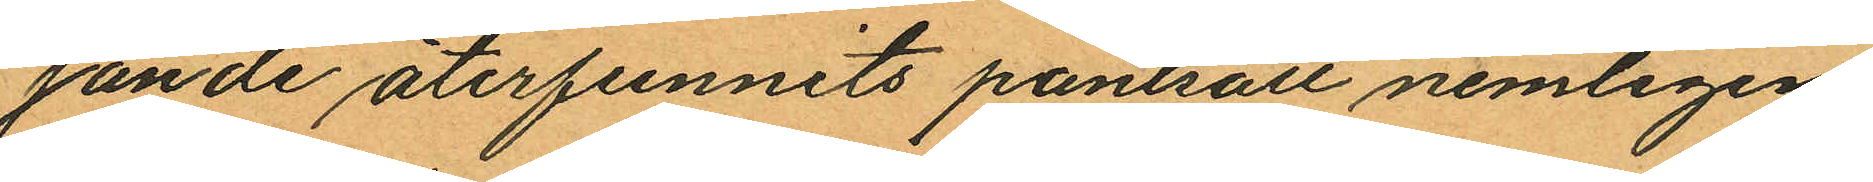jande återfunnits pantsatt nemligen
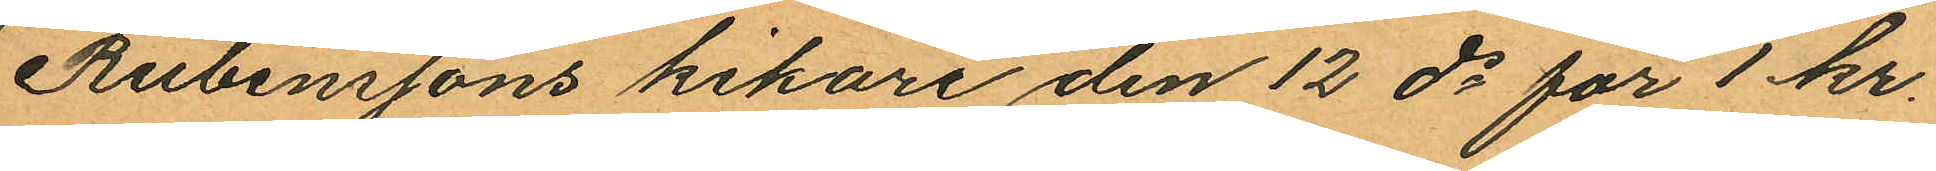Rubenssons kikare den 12 ds för 1 kr.
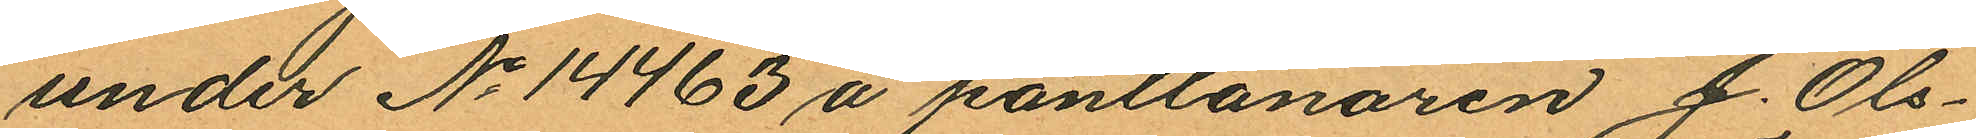under No 14463 å pantlånaren J. Ols¬
